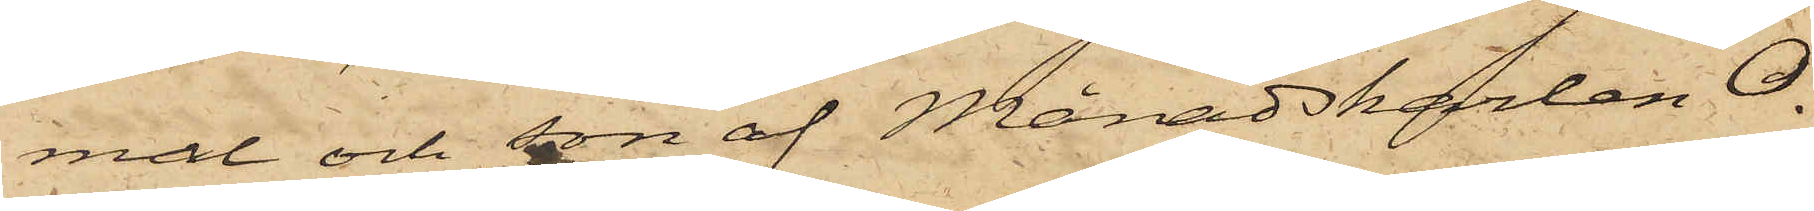mål och son af Månadskarlen O.
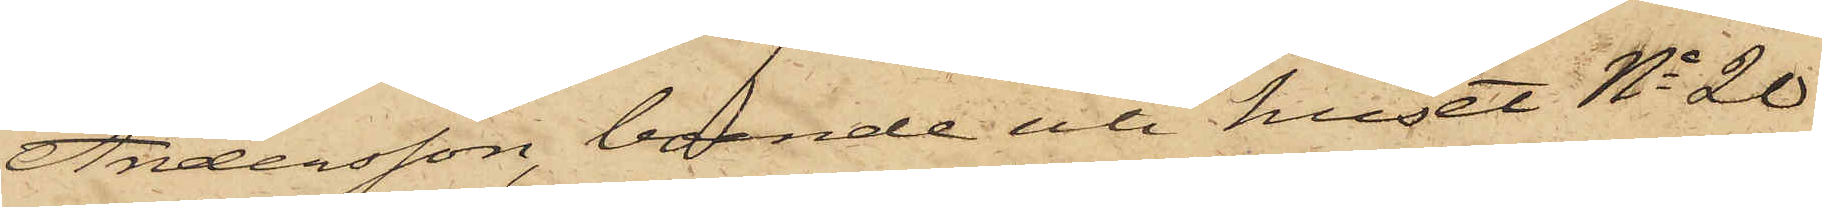Andersson, boende uti huset No 20
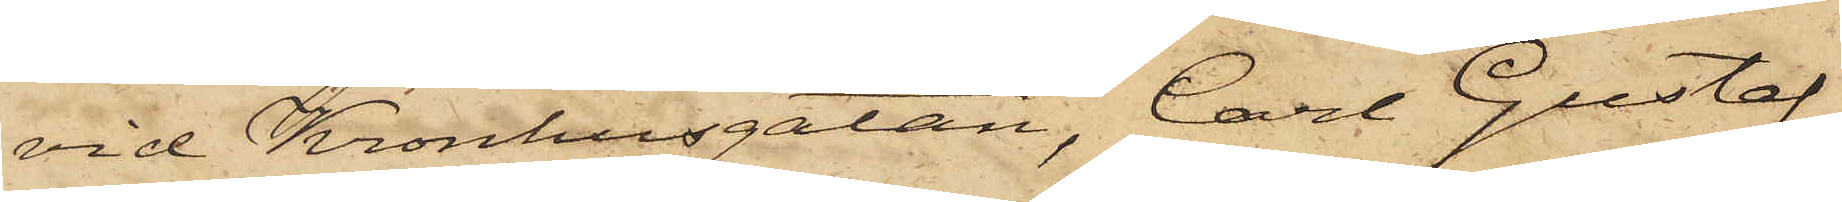vid Kronhusgatan, Carl Gustaf
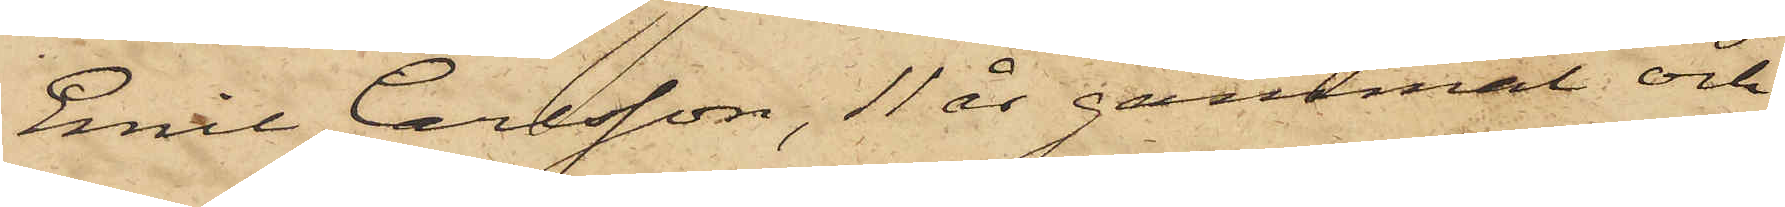Emil Carlsson, 11 år gammal och
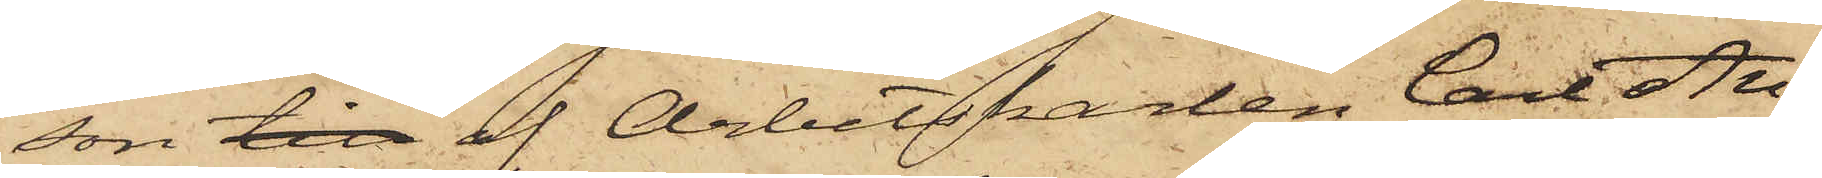son till af Arbetskarlen Carl An¬
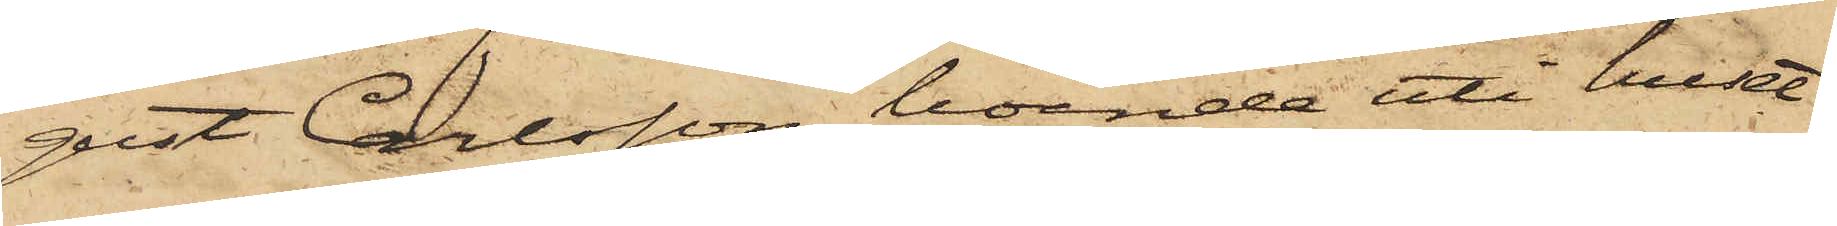gust Carlsson, boende uti huset
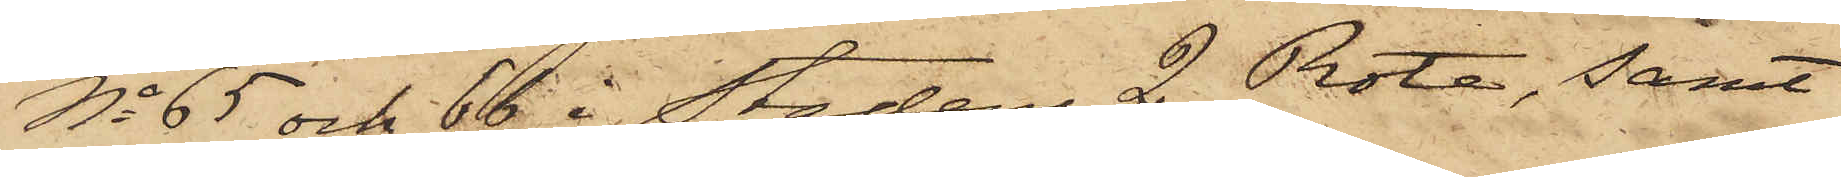No 65 och 66 i Stadens 2 Rote, samt
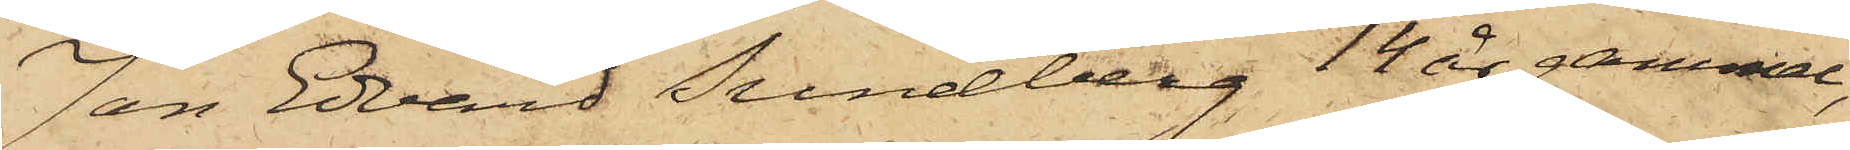Jan Edvard Sundberg 14 år gammal,
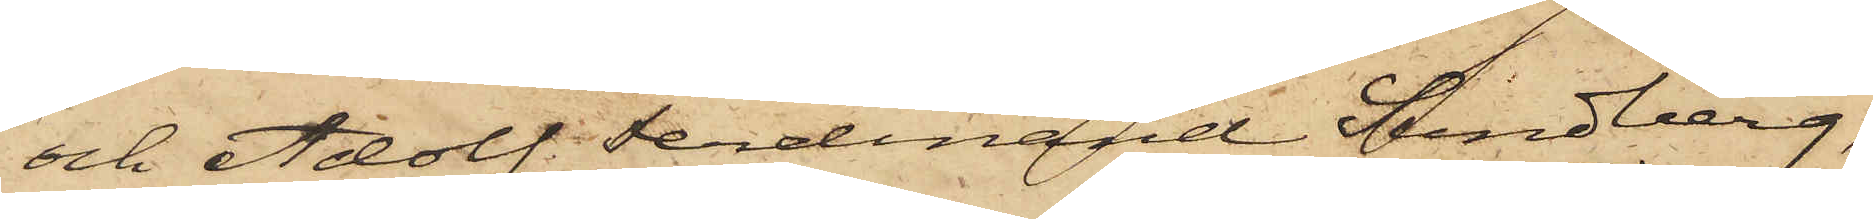och Adolf Ferdinand Sundberg,
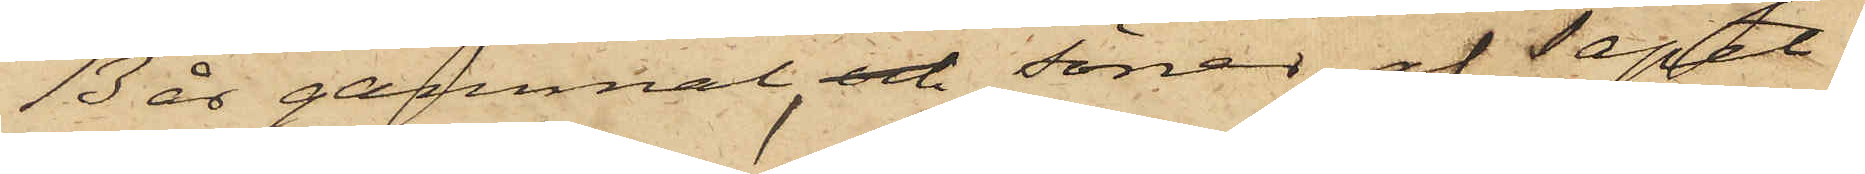13 år gammal, och söner af Tapet¬
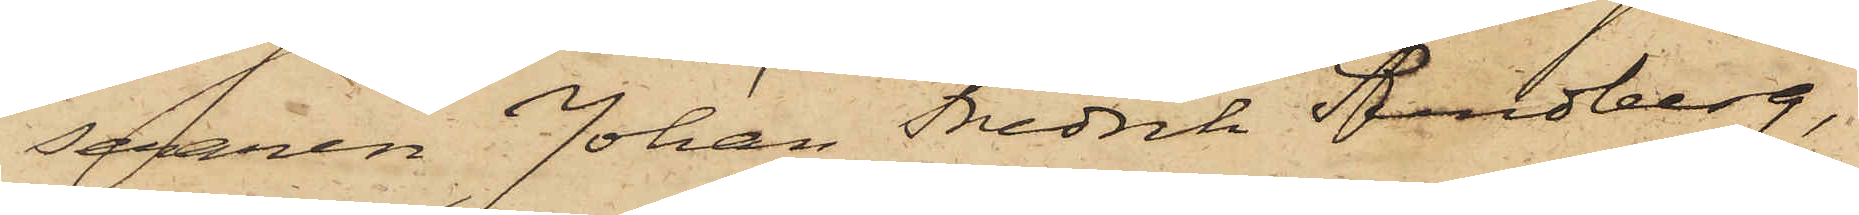seraren Johan Fredrik Sundberg,
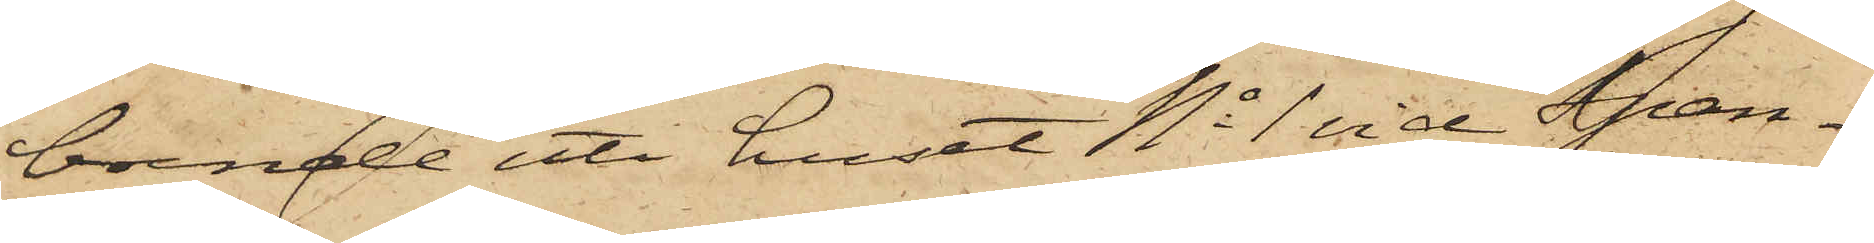boende uti huset No 1 vid Span¬
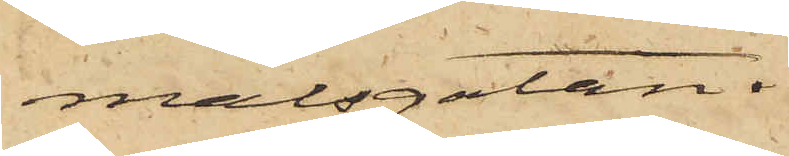målsgatan.
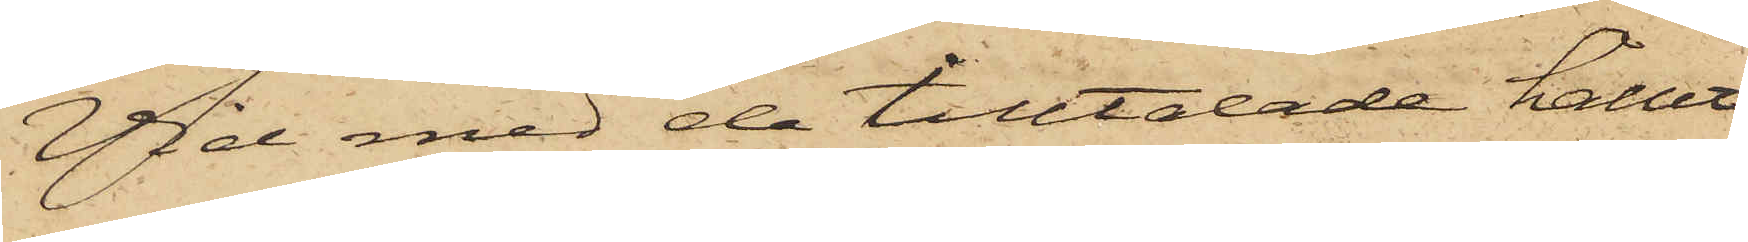Vid med de tilltalade hållet
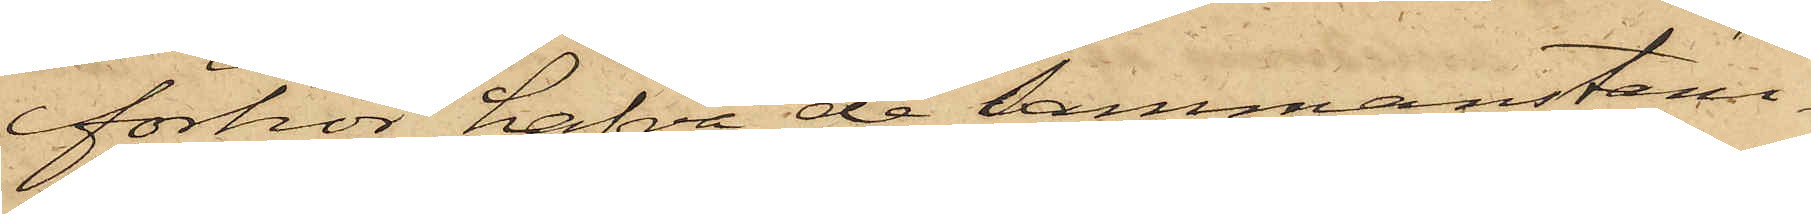förhör hafva de sammanstäm¬
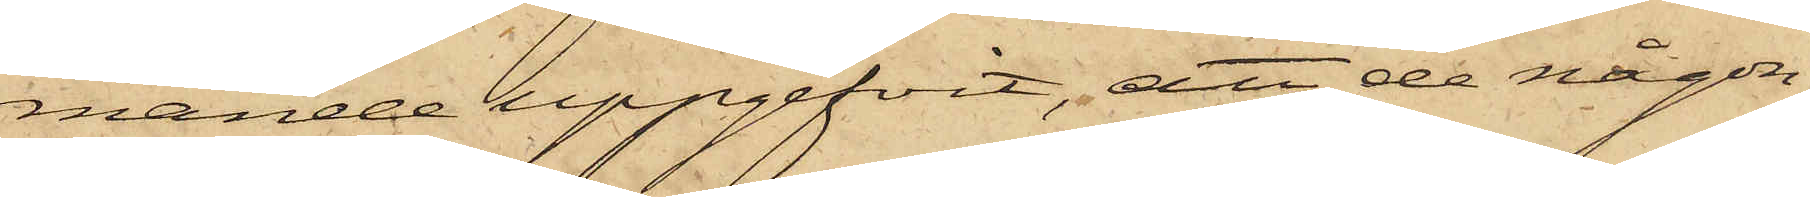mande uppgifvit, att de någon
